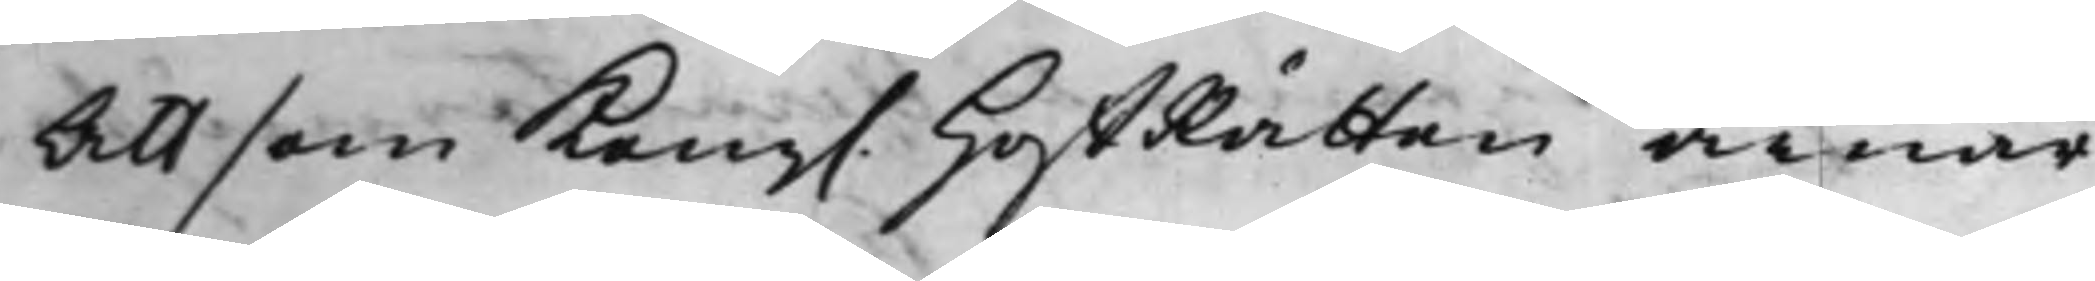Att som Kong. HoffRätten ärnar
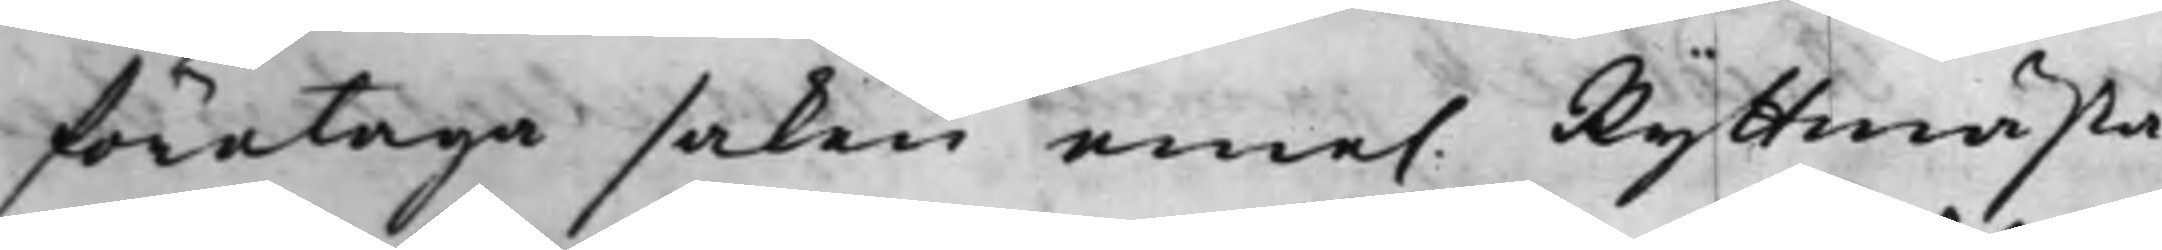företaga saken eme. Ryttmästa¬
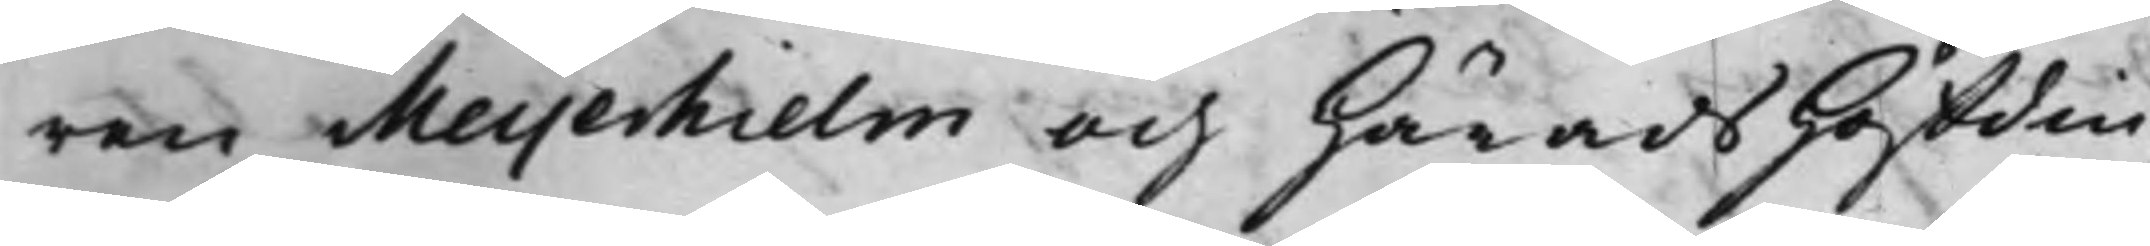ren Meyerhielm och HäradsHöfdin¬
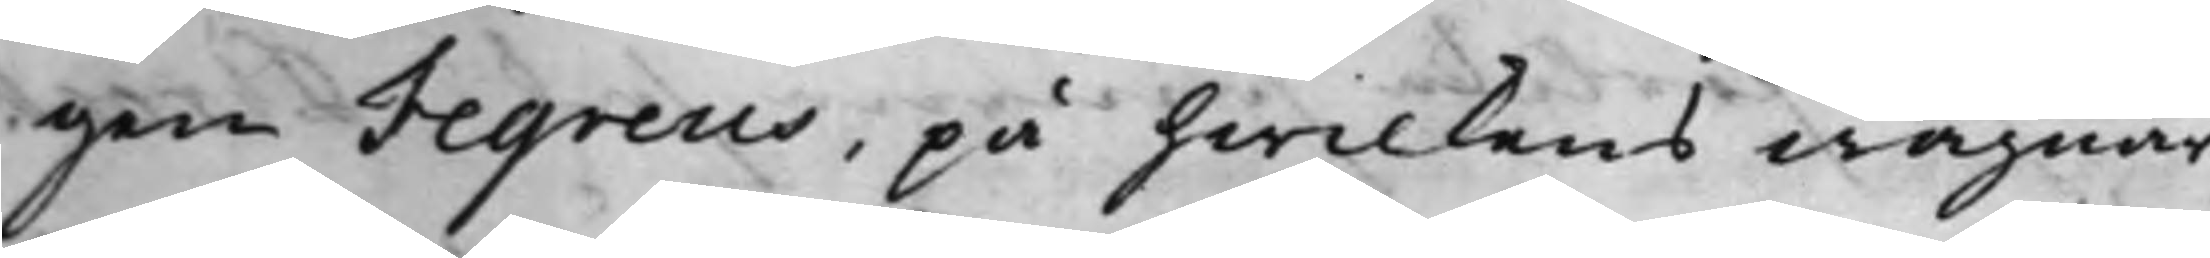gen Fegreus, på hwilkens wägnar
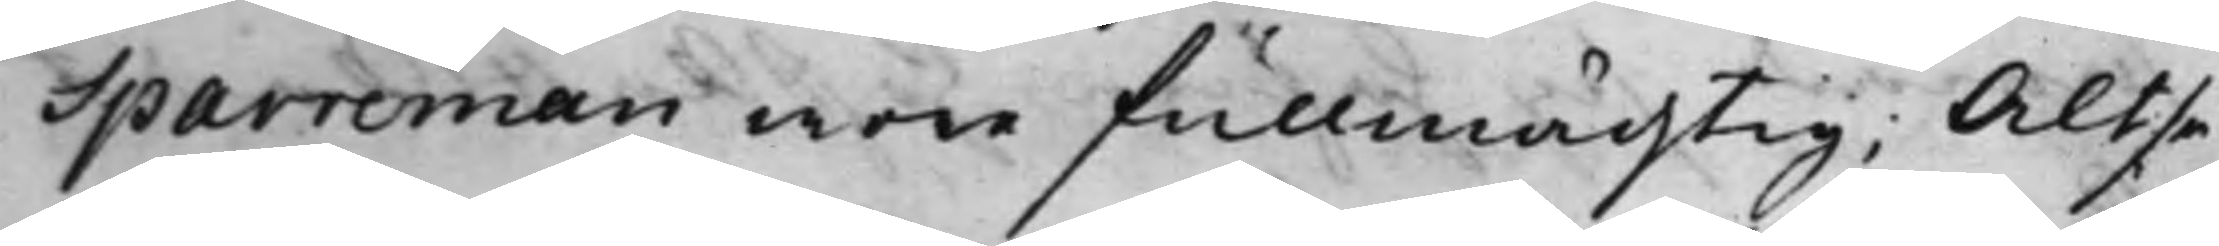Sparreman wore fullmächtig; Altså
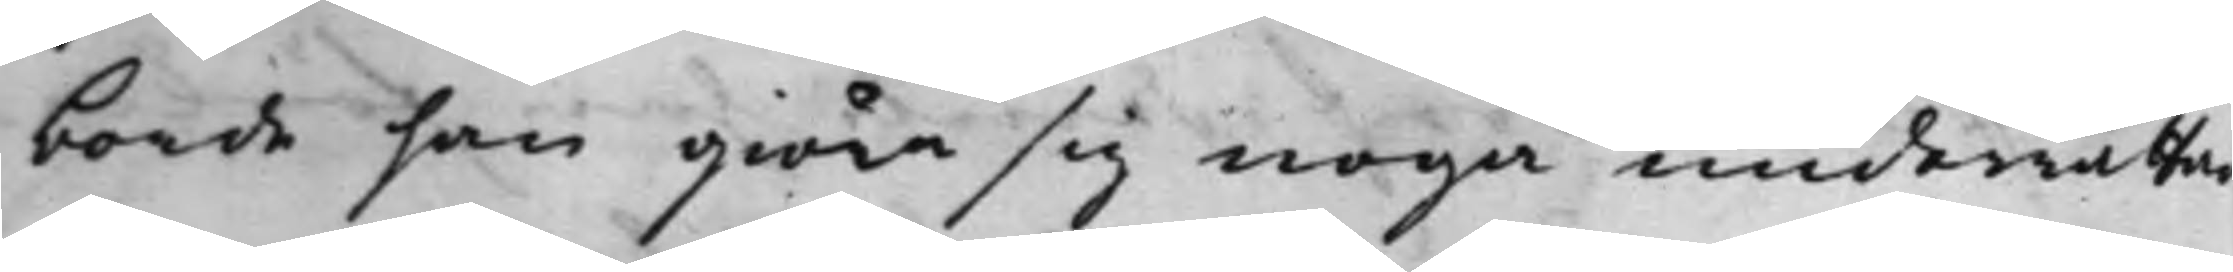borde han giöra sig noga underrättad
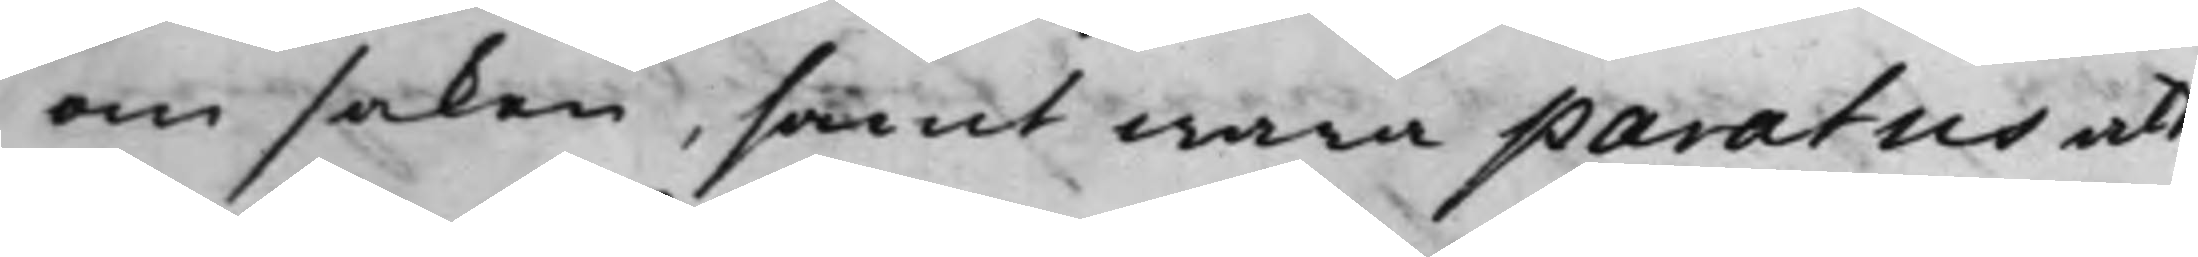om saken, samt wara paratus att
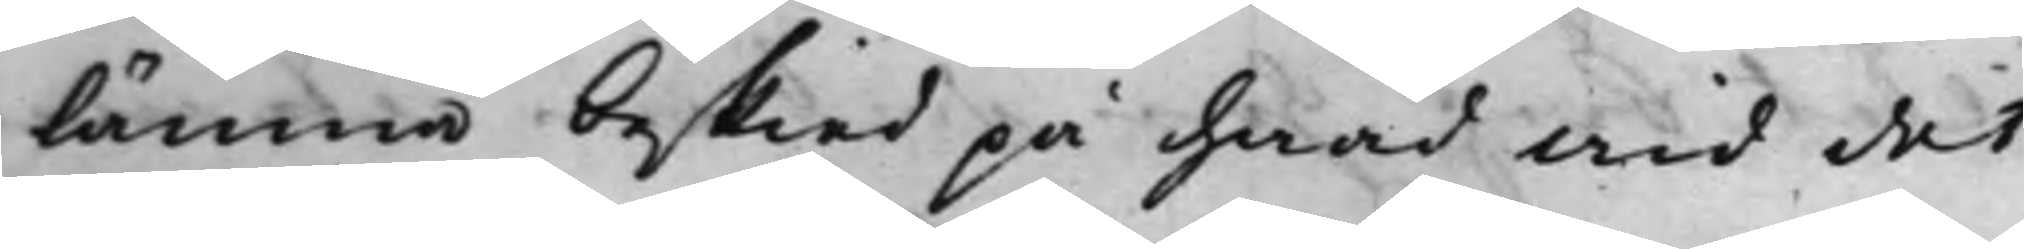lämna besked på hwad wid det
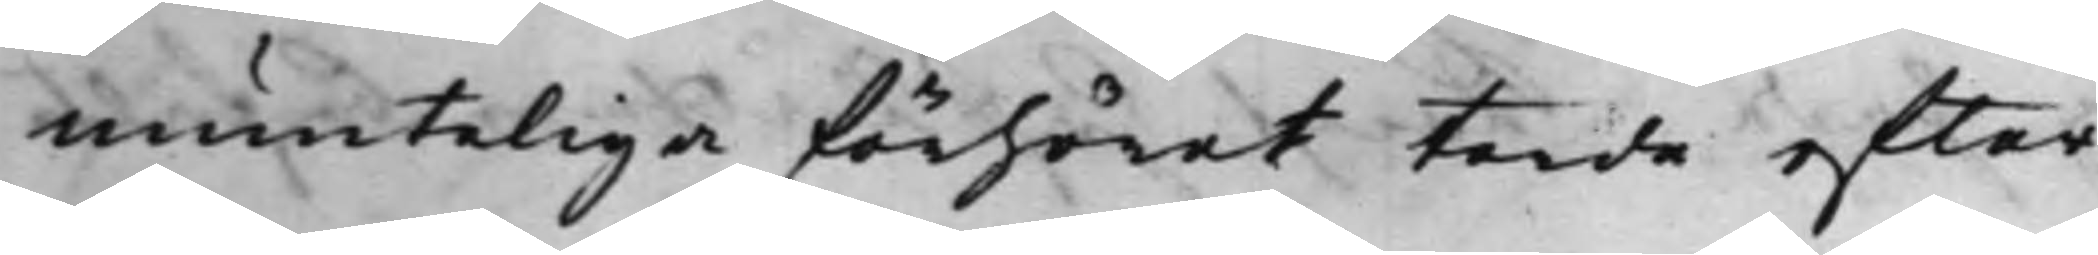munteliga förhöret torde efter¬
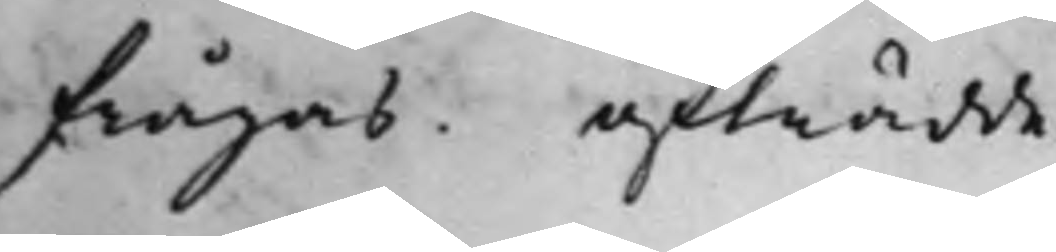frågas. afträdde.
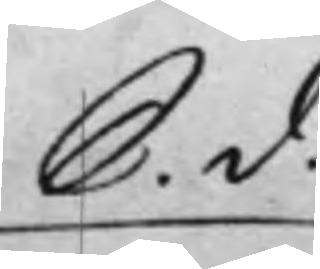S. d.
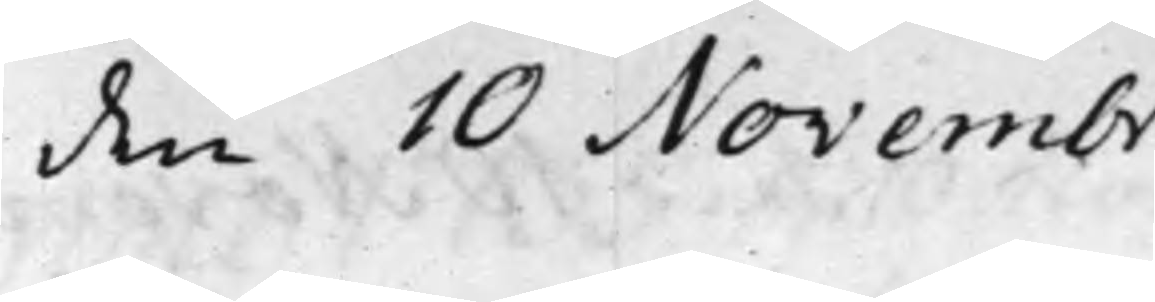den 10 Novembr
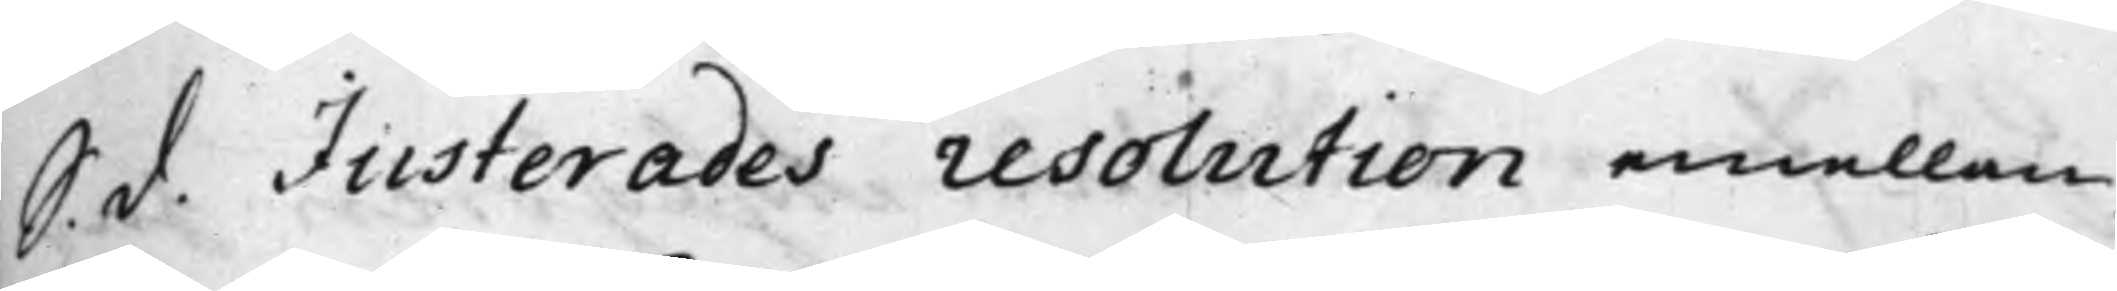S. d. Justerades resolution emellan
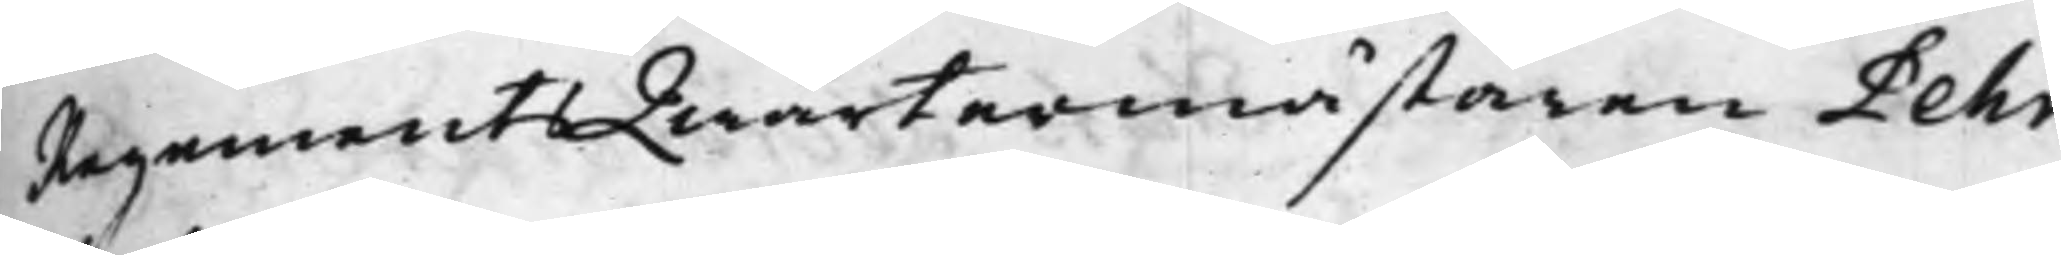RegementsQwartermästaren Pehr
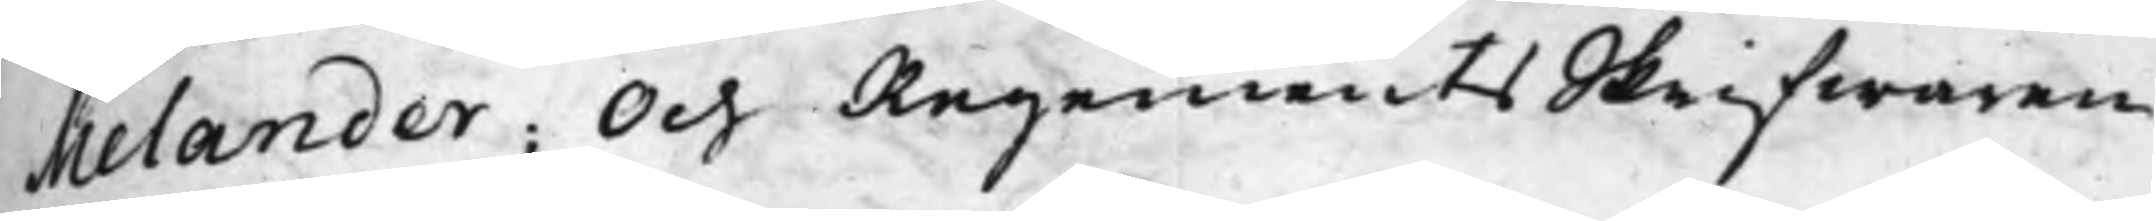Melander; Och RegementsSkrifwaren
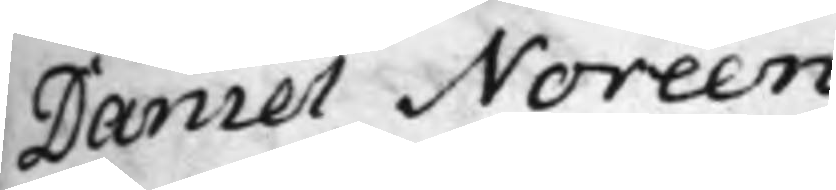Daniel Noréen.
